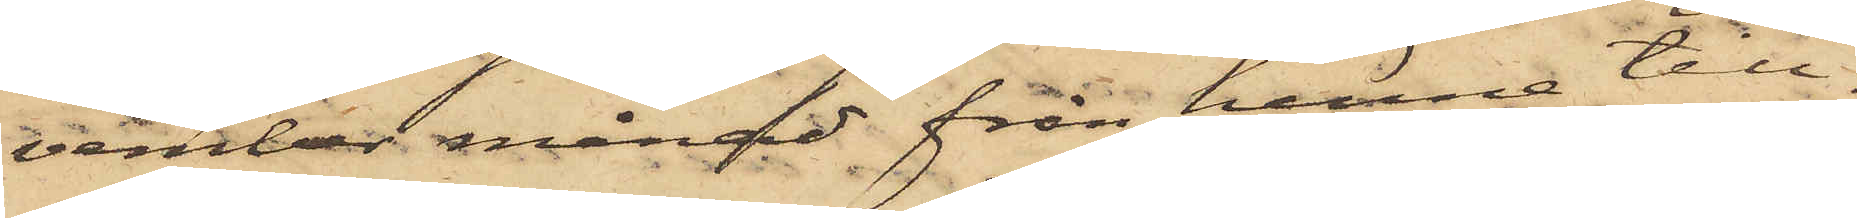vember månad från henne till¬
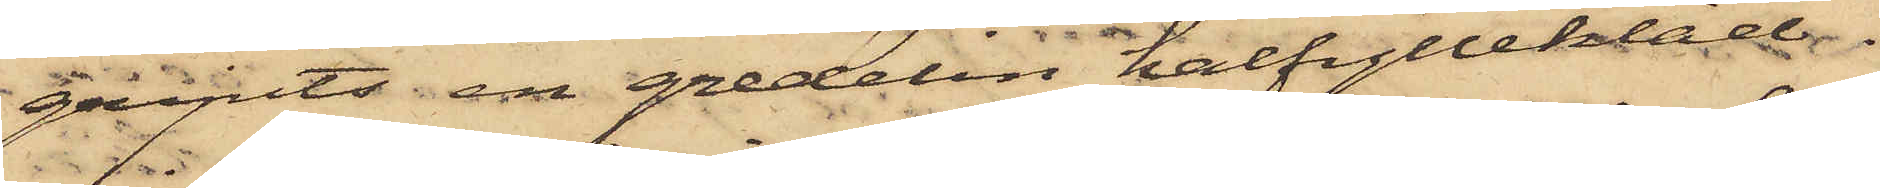gripits en gredelin halfyllekläd¬
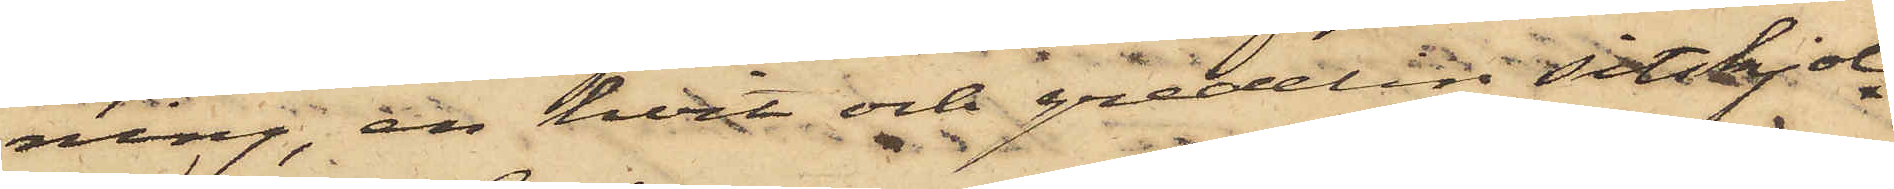ning, en hvit och gredelin sitskjol
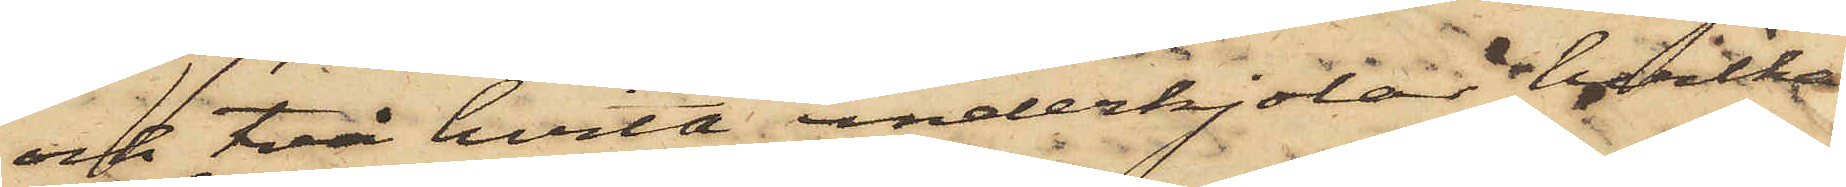och två hvita underkjolar, hvilka
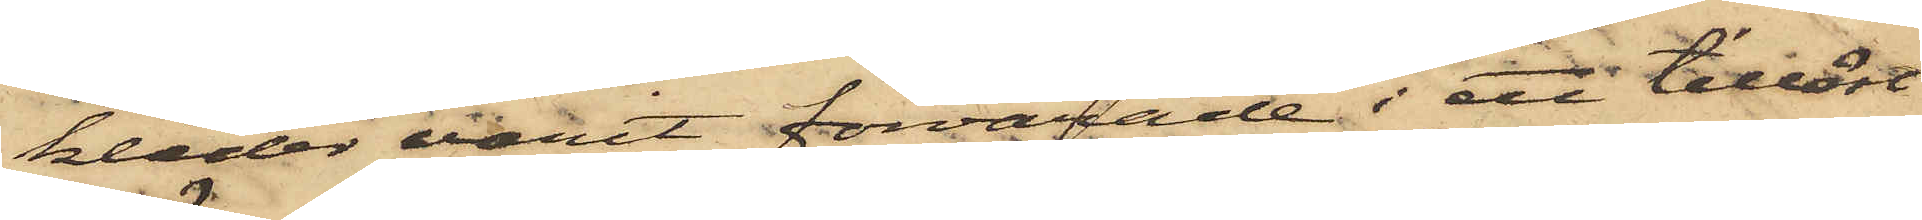kläder varit förvarade i ett tillåst
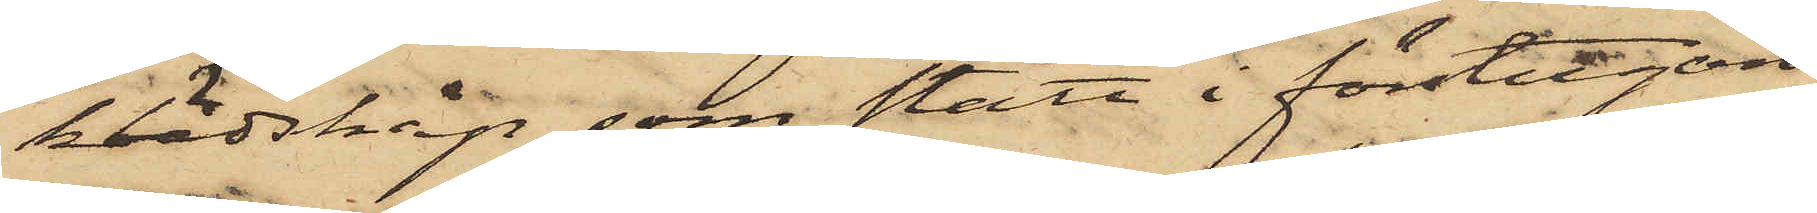klädskåp, som stått i förstugan
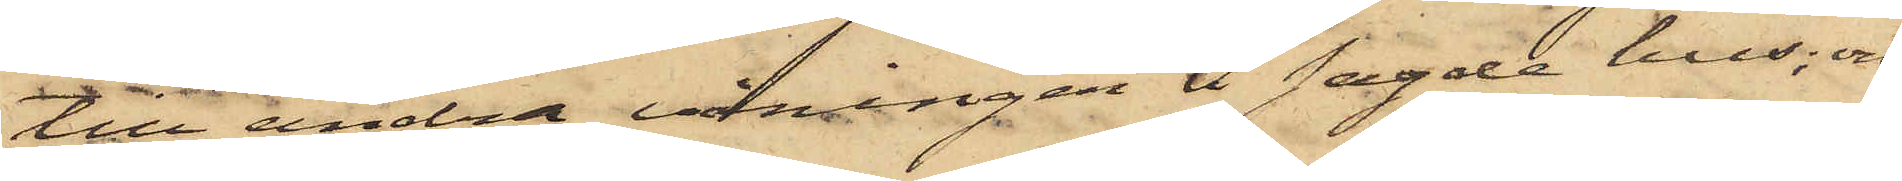till andra våningen i sagde hus; och
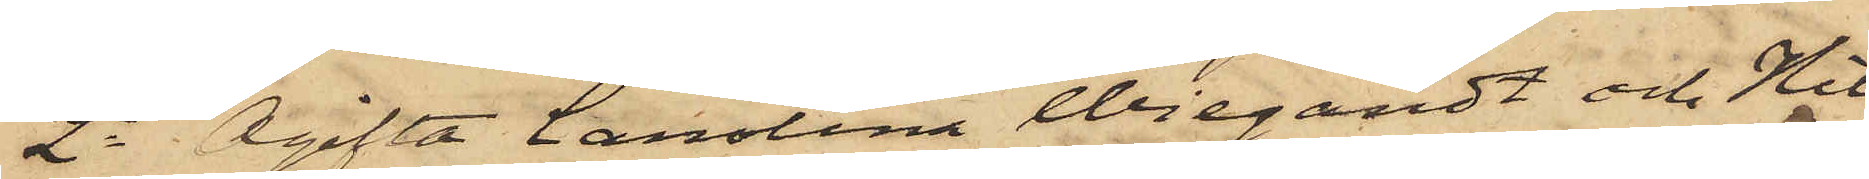2o Ogifta Carolina Wiegardt och Hil¬
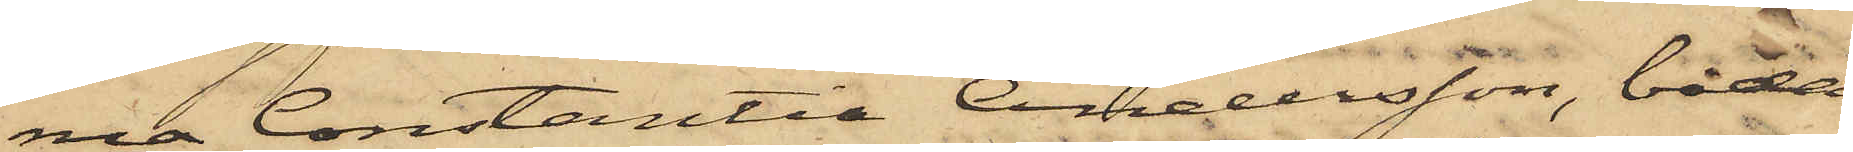ma Constantia Andersson, båda
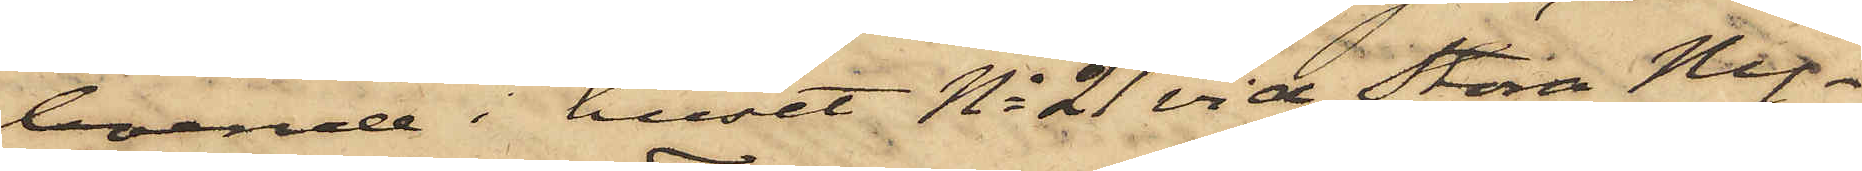boende i huset No 21 vid Stora Ny¬
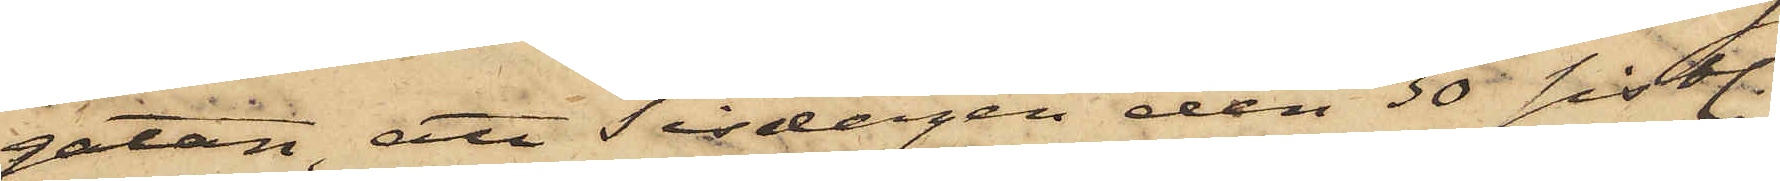gatan att Tisdagen den 30 sistl.
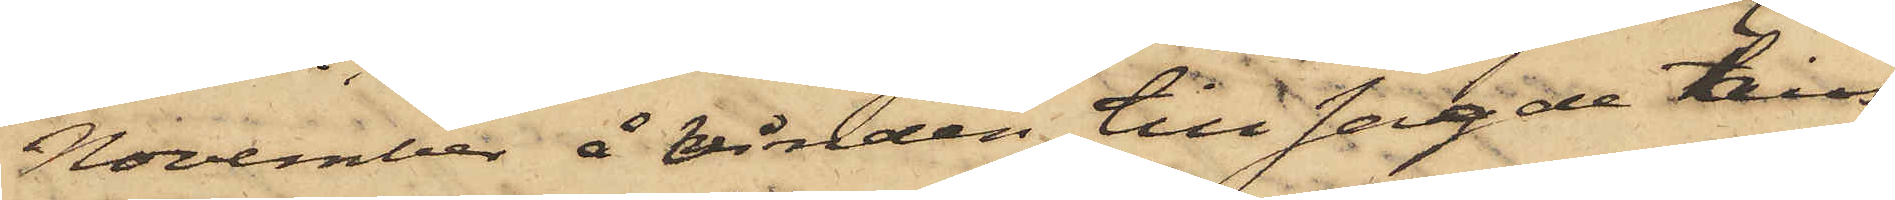November å vinden till sagde hus
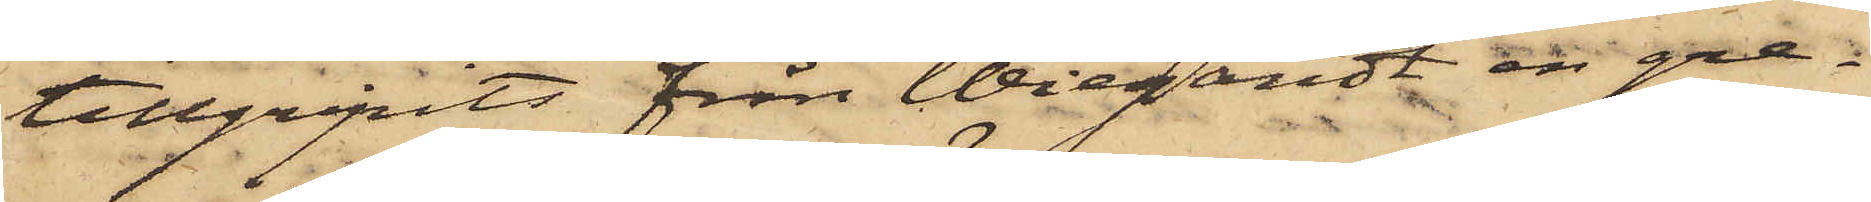tillgripits från Wiegardt en gre¬
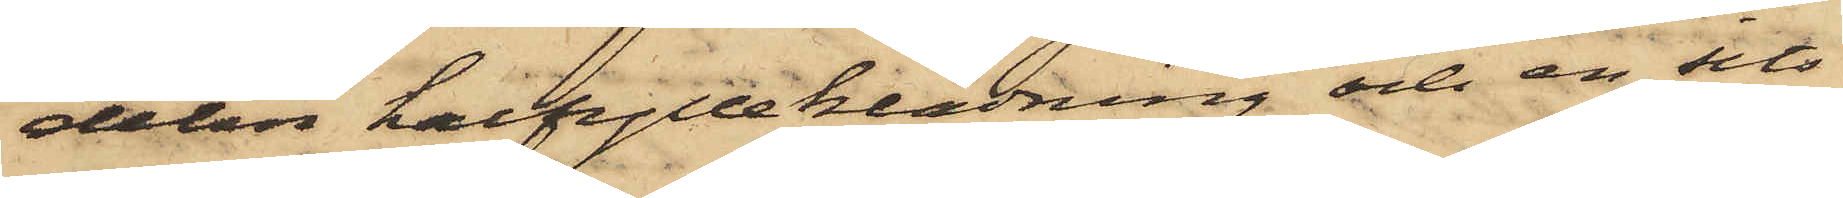delin halfylleklädning och en sits¬
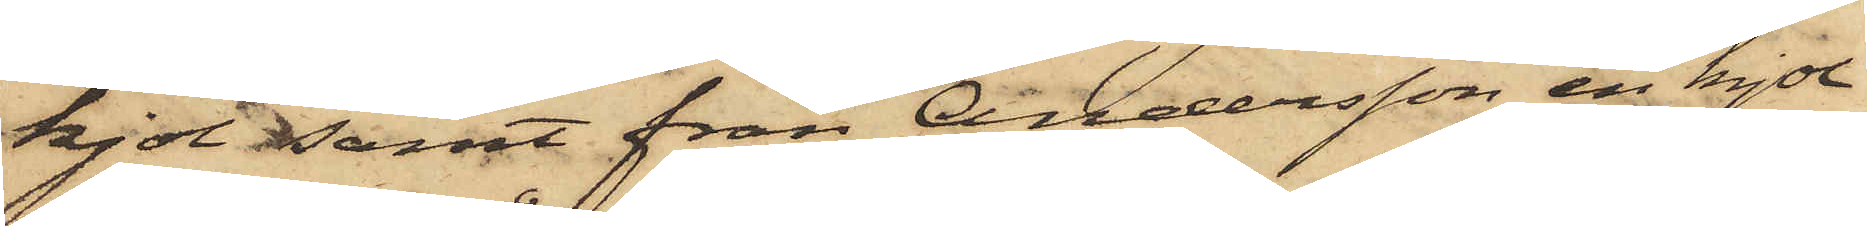kjol samt från Andersson en kjol
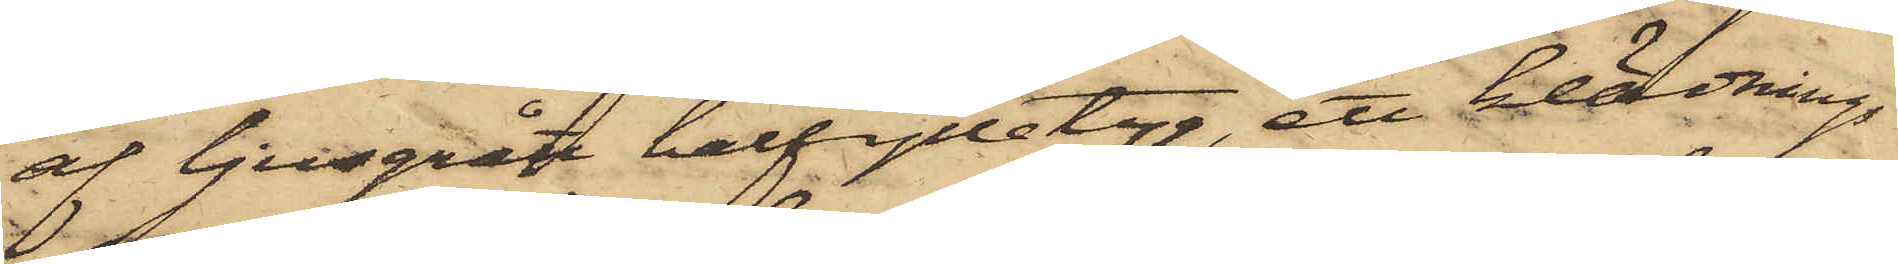af ljusgrått halfylletyg, ett klädnings¬
